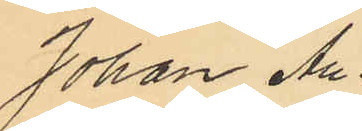Johan Au¬
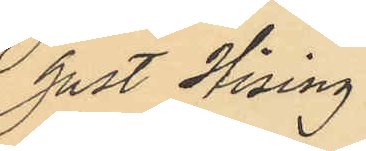gust Hising.
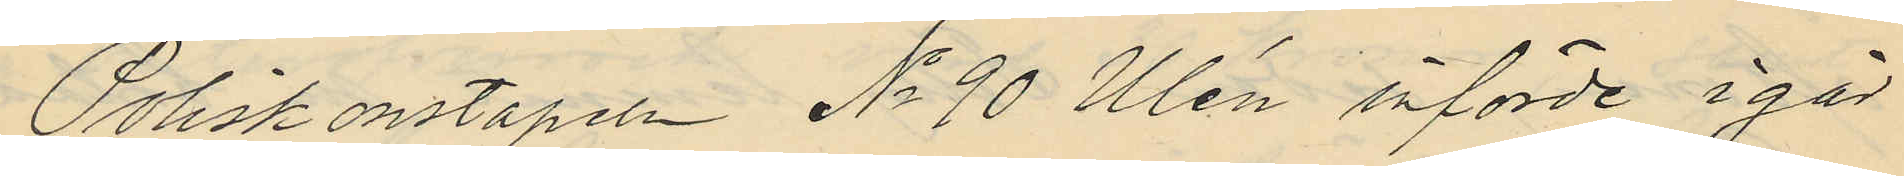Poliskonstapeln No 90 Ulén införde i går
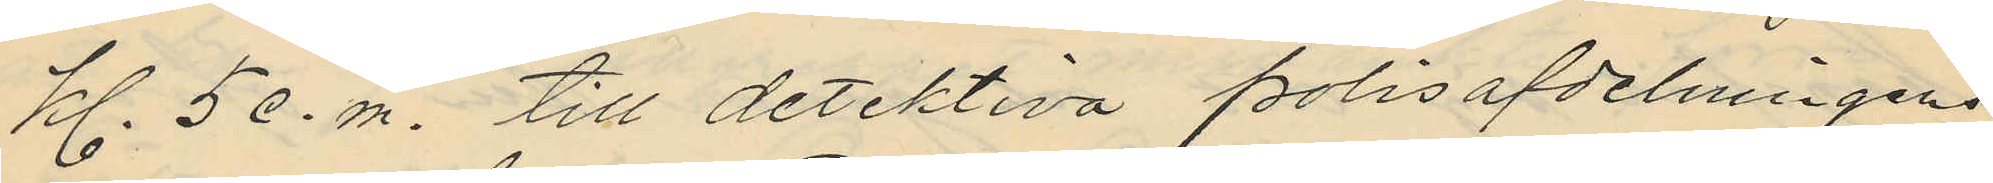Kl. 5 e.m. till detektiva polisafdelningens
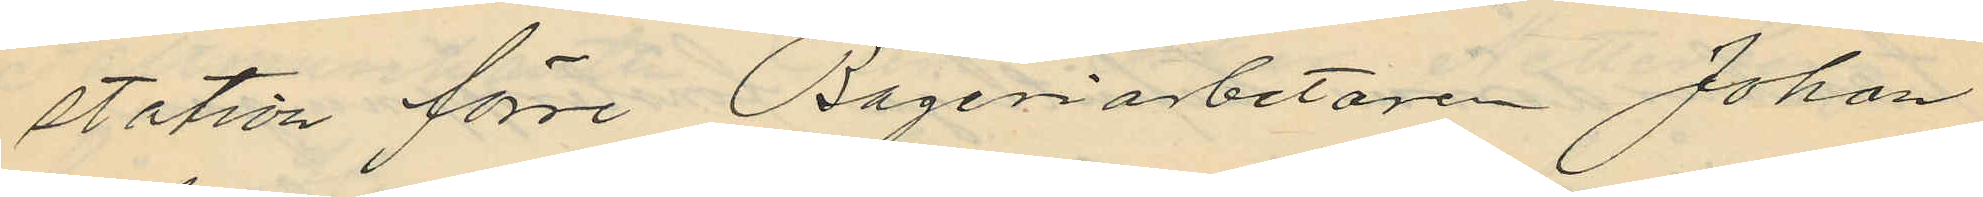station förre Bageriarbetaren Johan
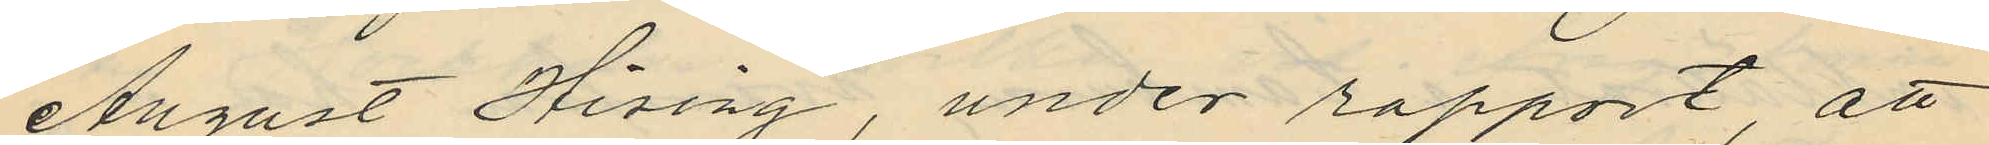August Hising, under rapport, att
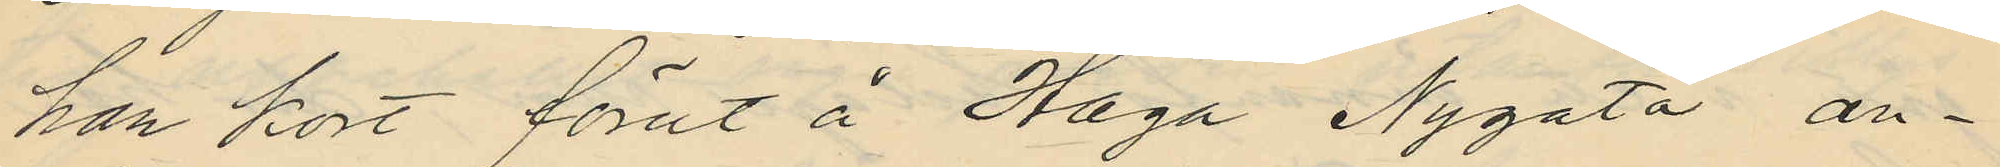han kort förut å Haga Nygata an¬
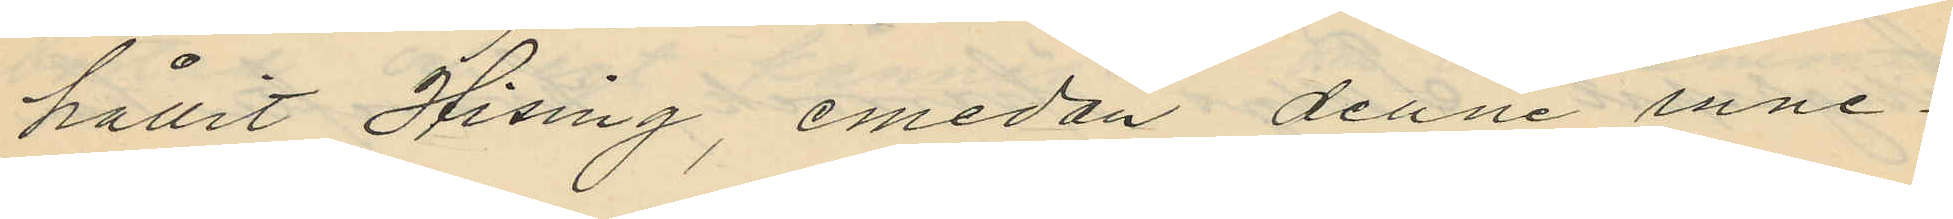hållit Hising, emedan denne inne¬
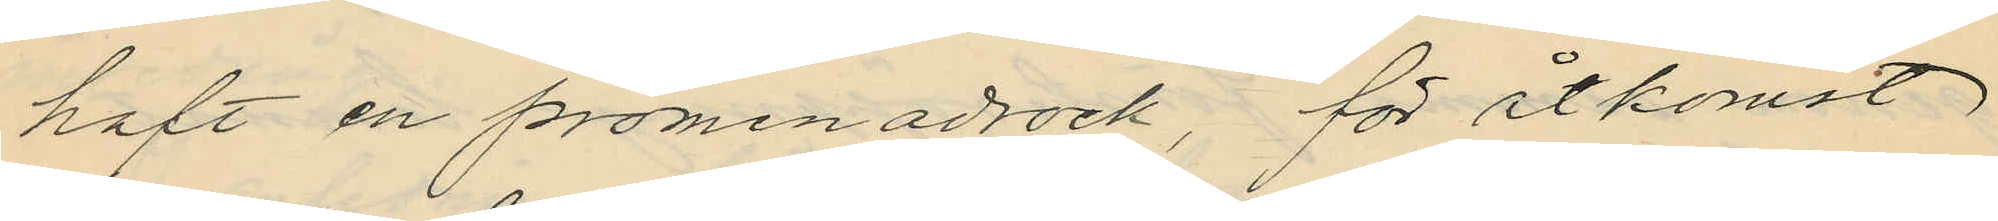haft en promenadrock, för åtkomst
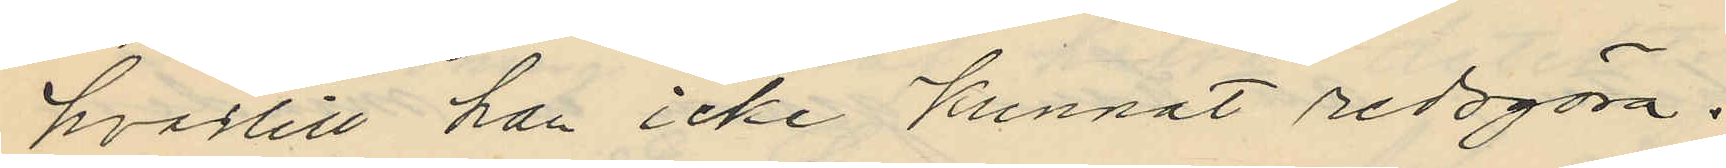hvartill han icke kunnat redogöra.
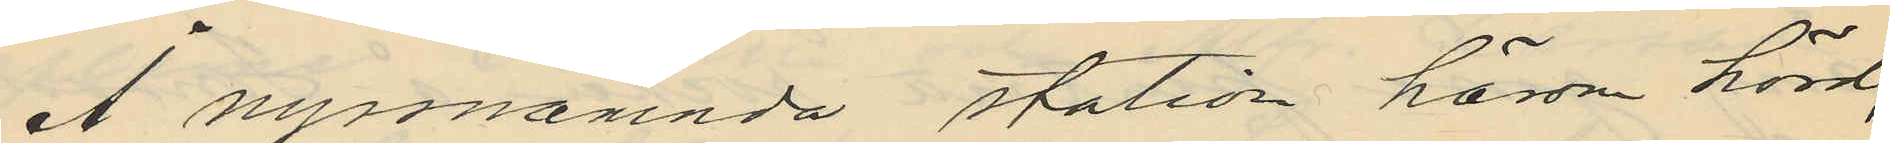Å nynnämnda station härom hörd,
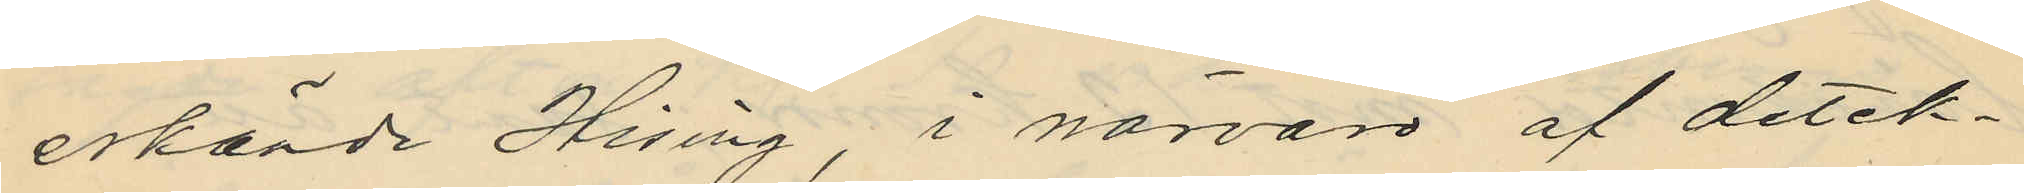erkände Hising, i närvaro af detek¬
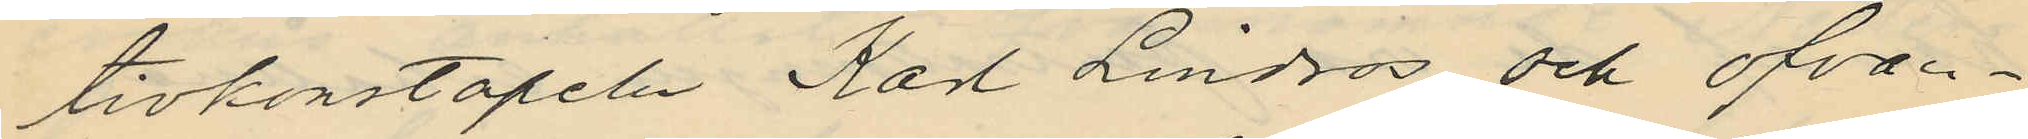tivkonstapeln Karl Lindros och ofvan¬
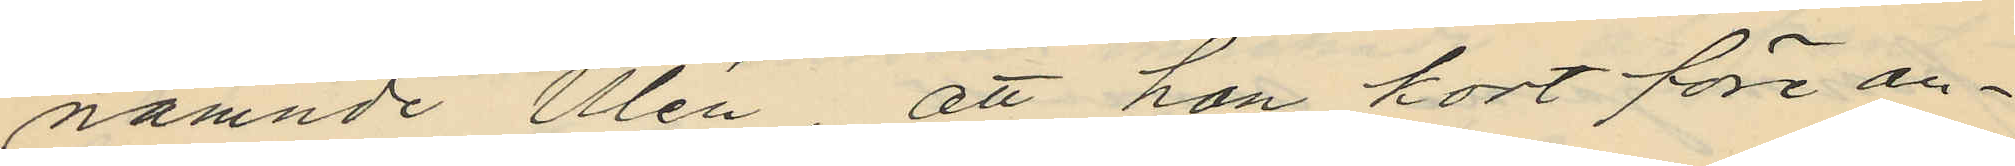nämnde Ulén, att han kort före an¬
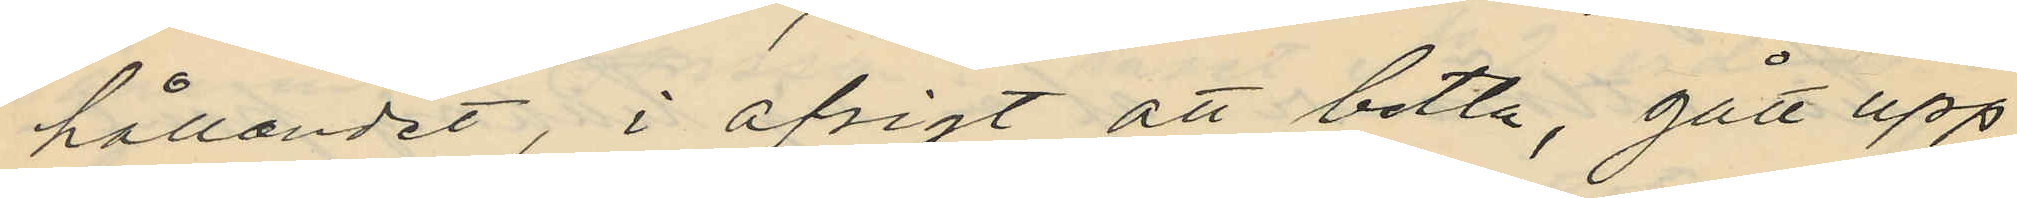hållandet, i afsigt att betla, gått upp
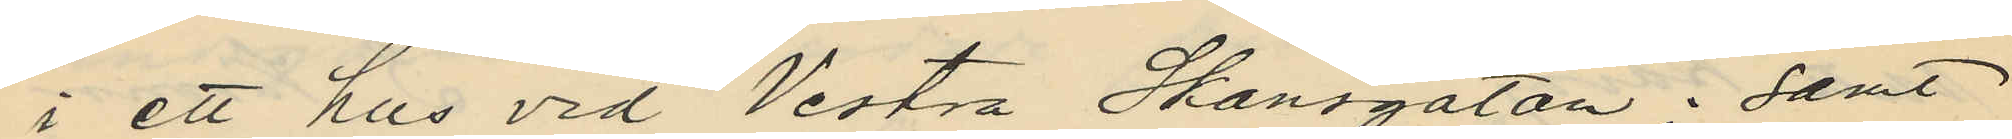i ett hus vid Vestra Skansgatan; samt
